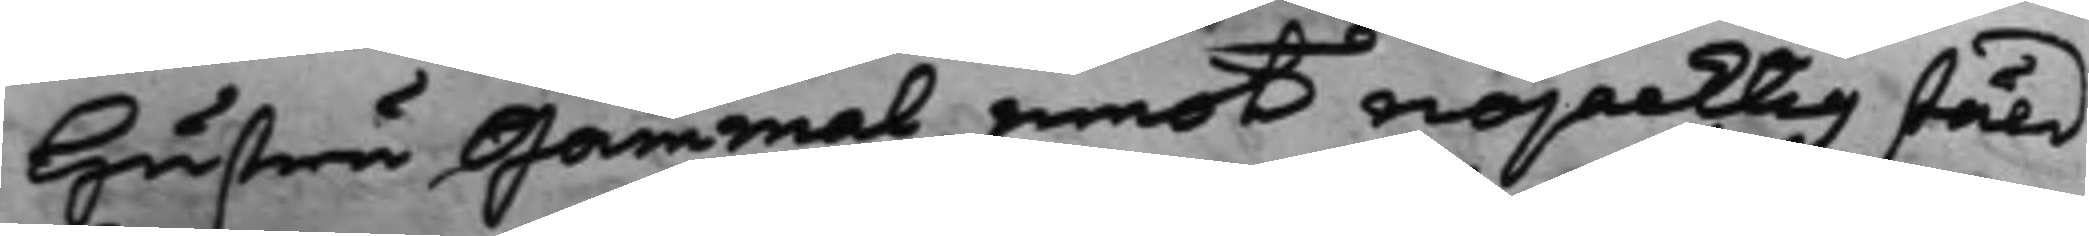hustru Gammal emot nöjacktig stäld
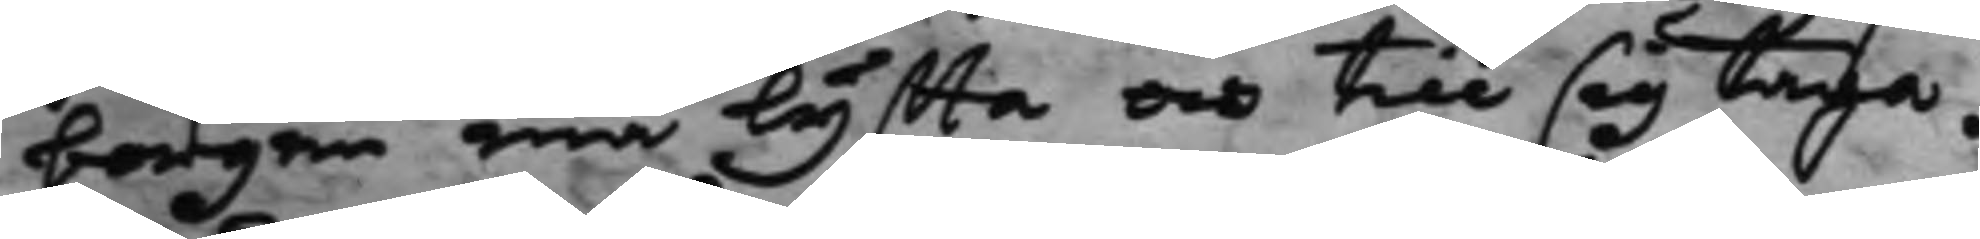borgen må lyffta och till sig taga.
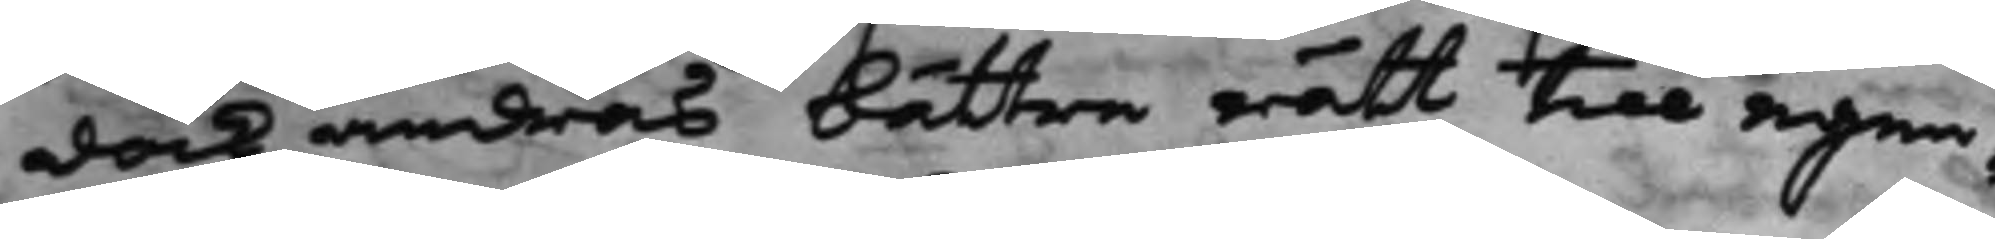dock andras bättre rätt till egen¬
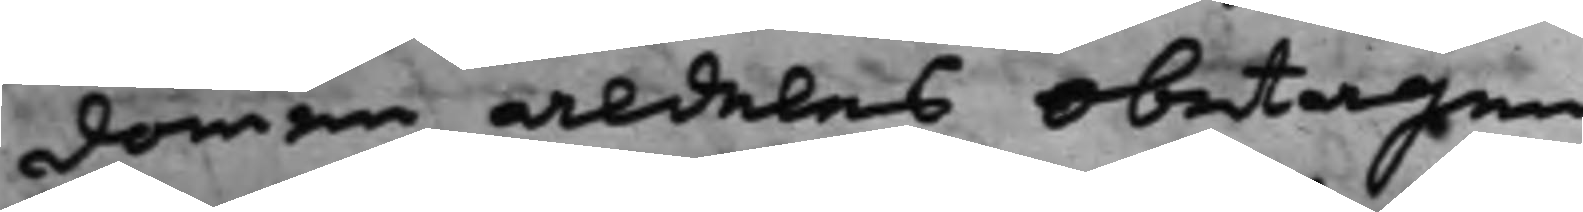domen aldeles obetagen.
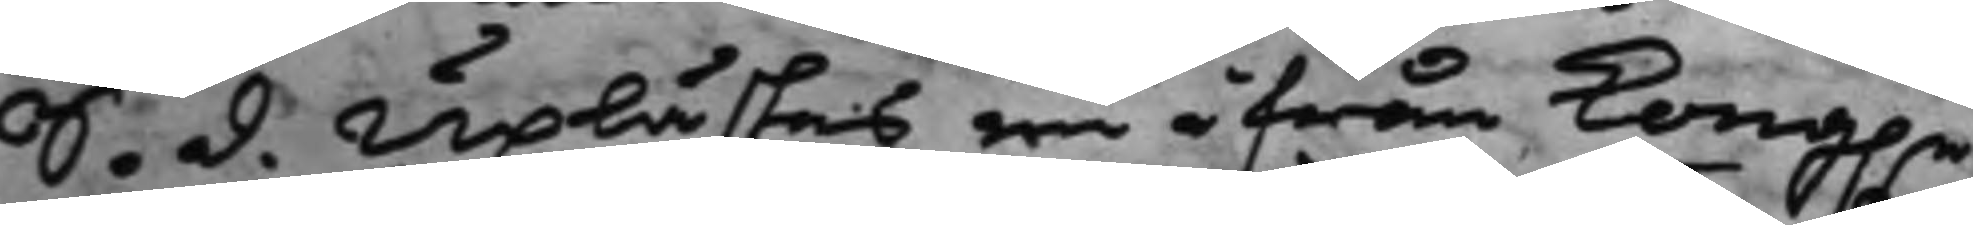S. d. Uplästes en ifrån Kong.e
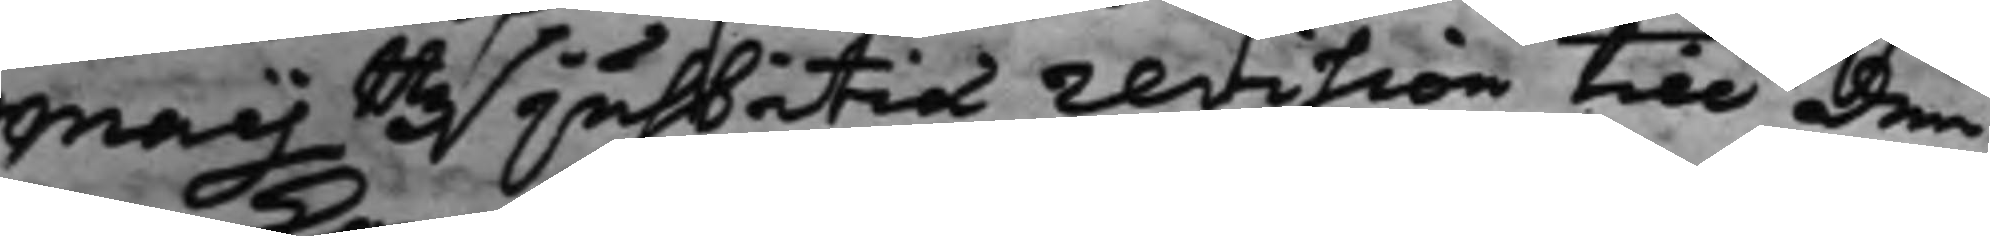Maijttz justitiæ revision till den¬
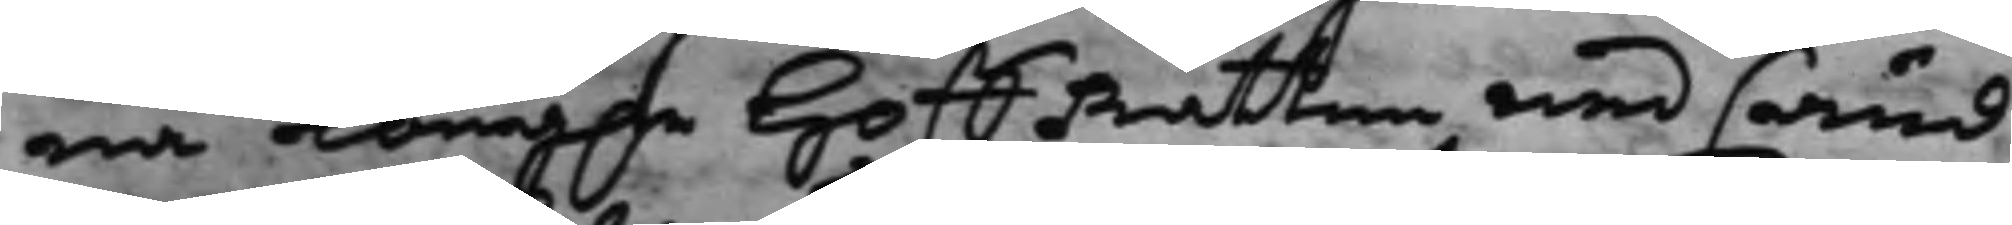ma Kong.e HoffRätten medsänd
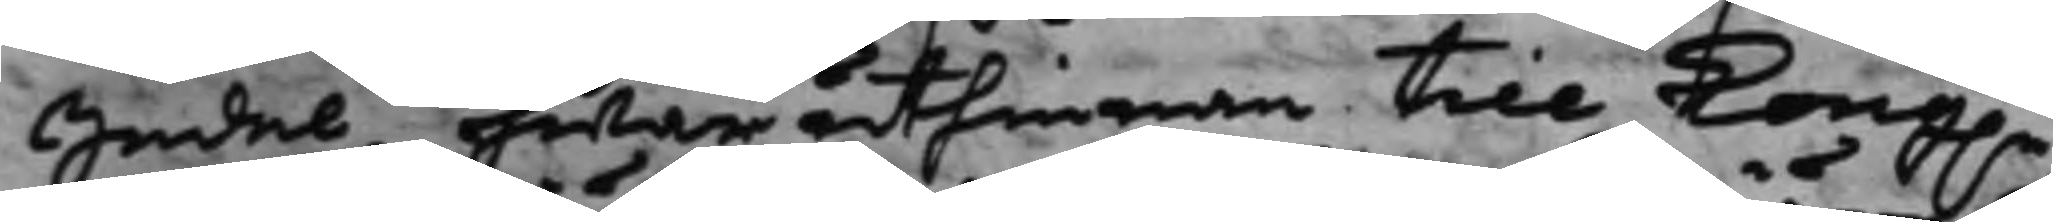Sedel, hwaruthinnan till Kong.e
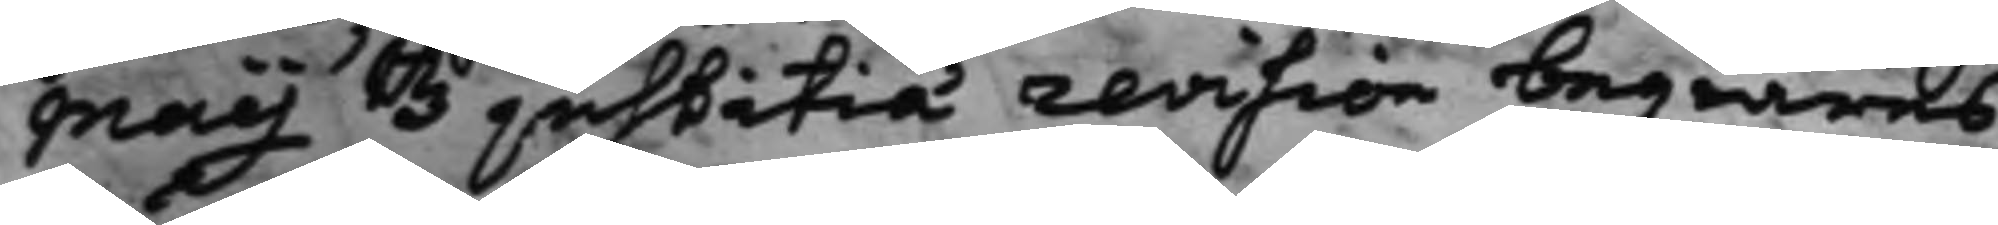Maijttz justitiæ revision begiäres
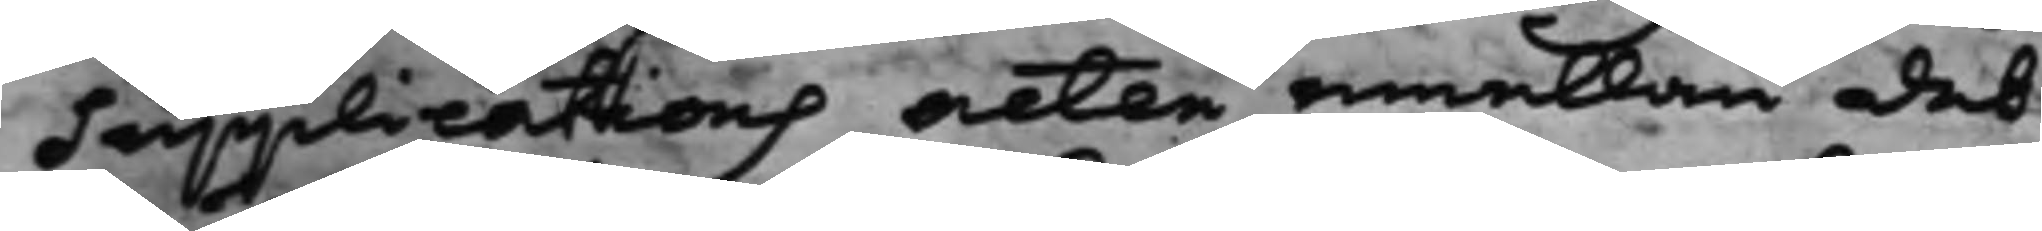Supplications acten emellan det
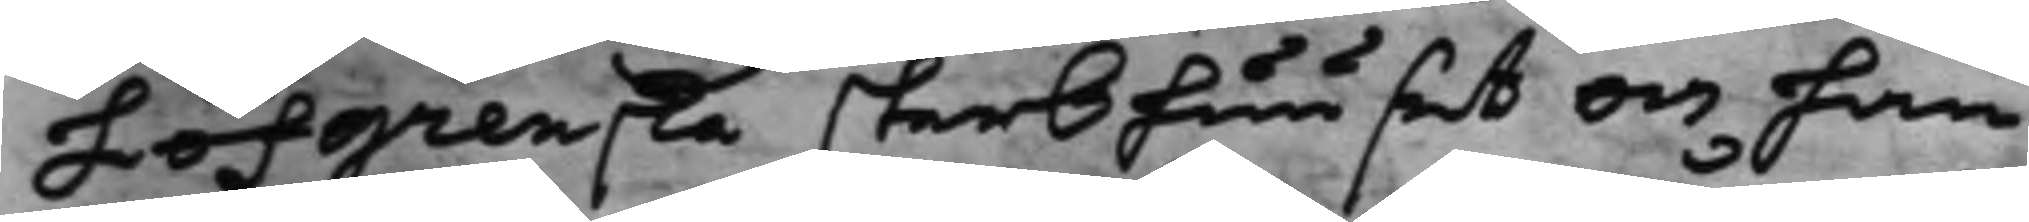Löfgenska sterbhuuset och han¬
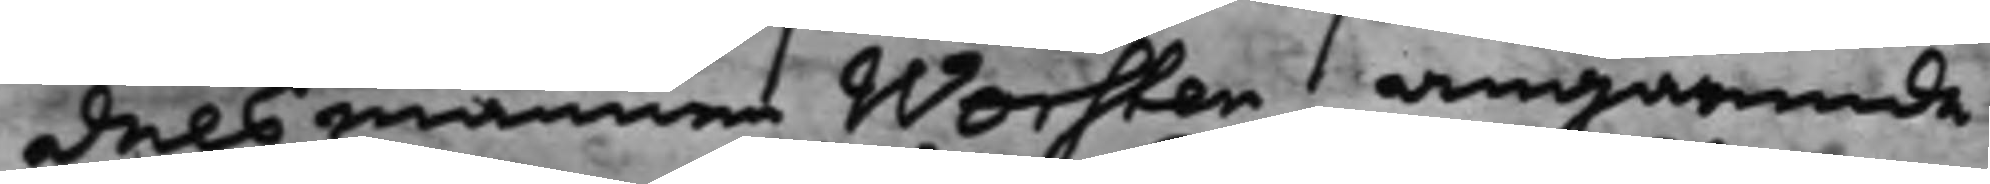delsmannens Worsten, angående
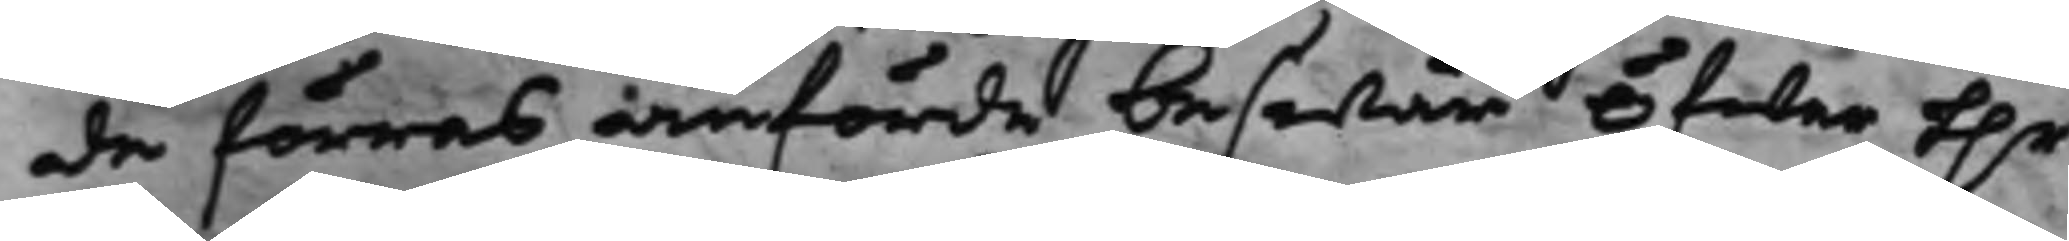de förras anförde beswär öfwer h.r
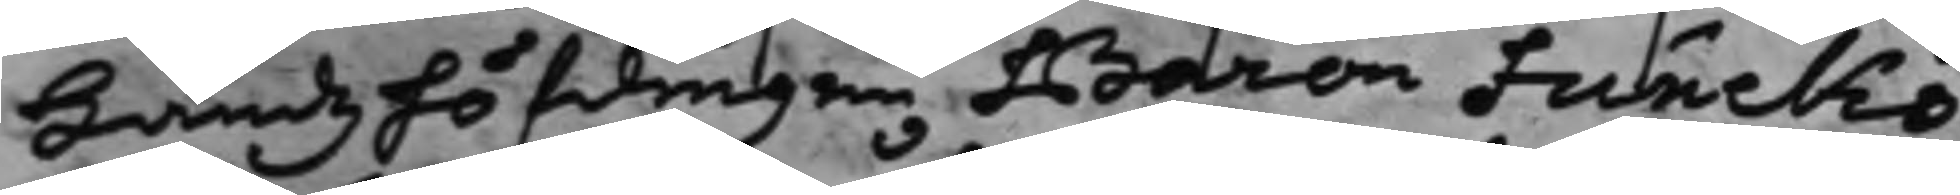Landzhöfdingen Baron Funcks
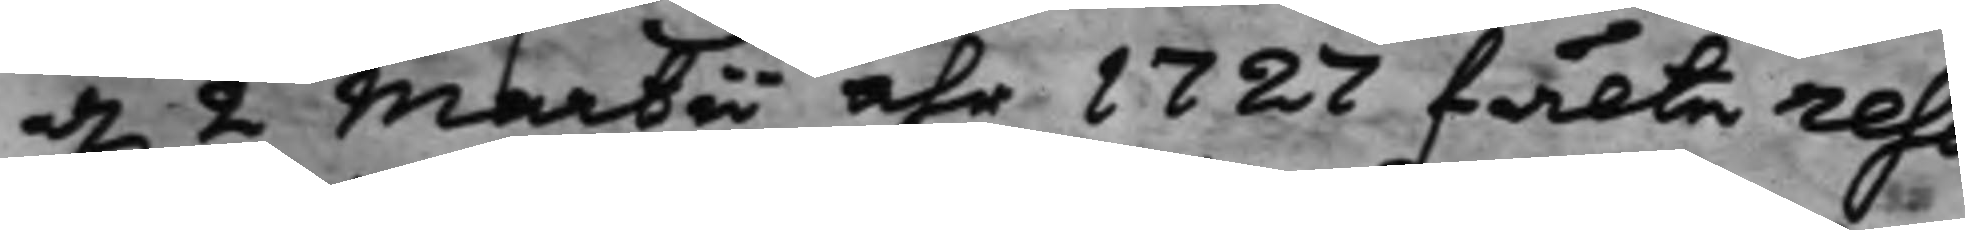d. 2 Martii åhr 1727 fälte reso¬
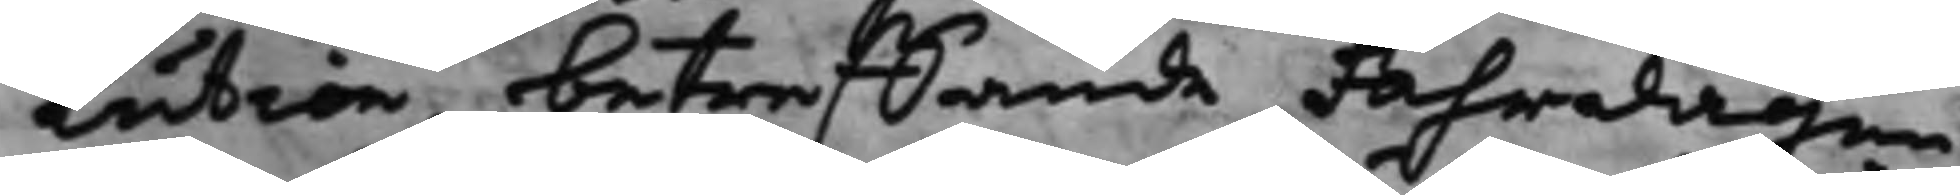lution, beträffande Fahrdagen
